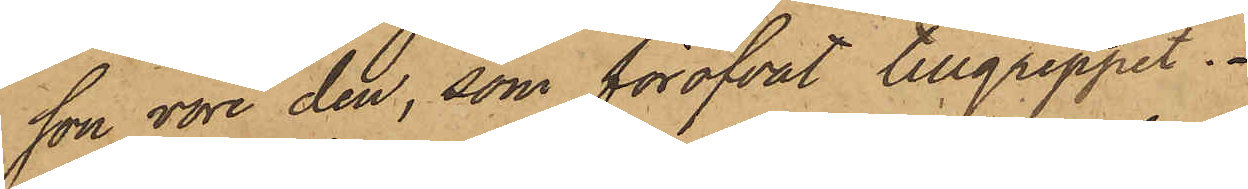son vore den, som föröfvat tillgreppet.
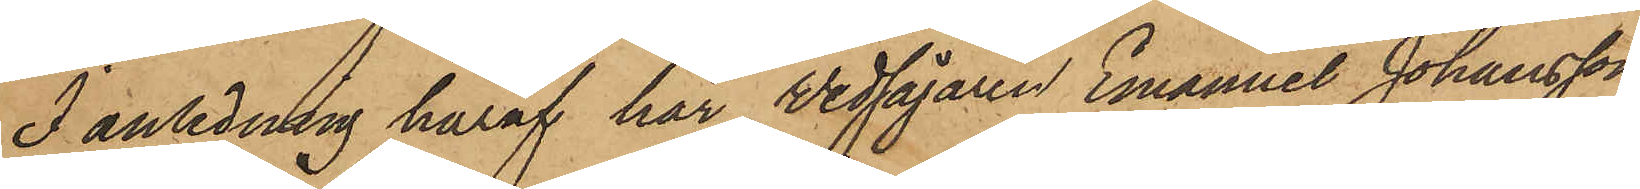I anledning häraf har Wedsågaren Emanuel Johansson,
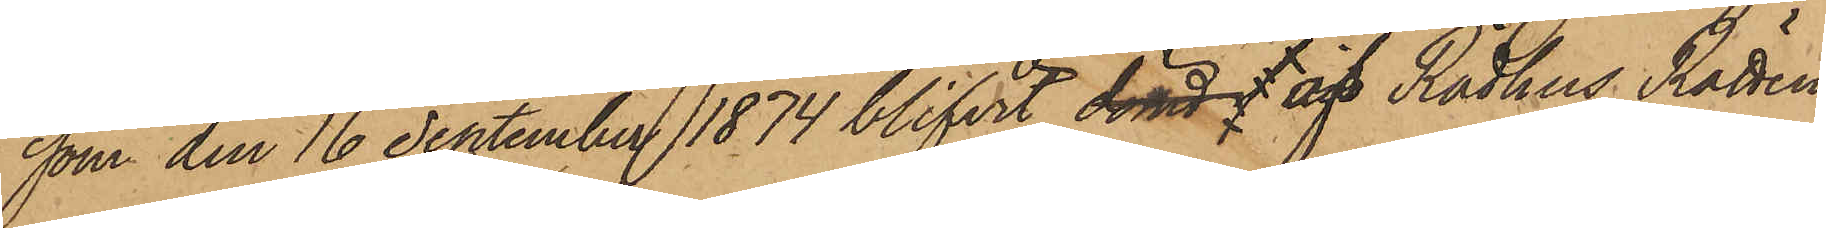som den 16 September 1874 blifvit dömd l af Rådhus Rätten
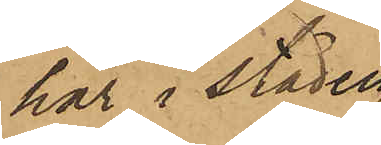här i staden
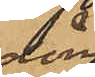dömd
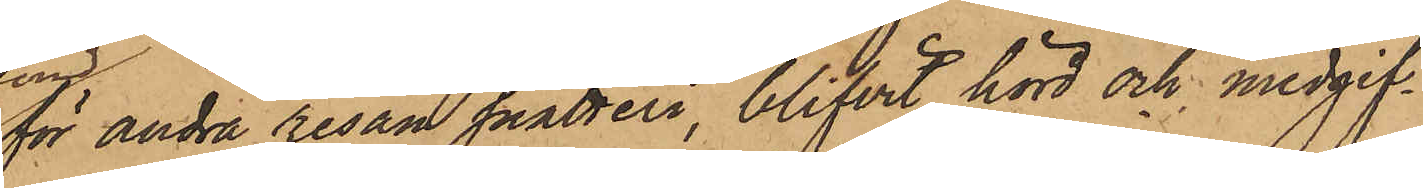för andra resan snatteri, blifvit hörd och medgif¬
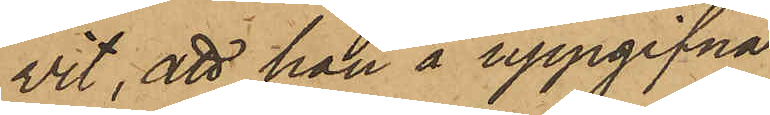vit, att han å uppgifna
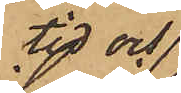tid och
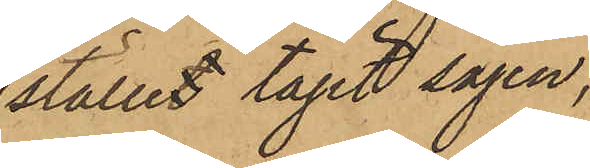stället tagit sågen,
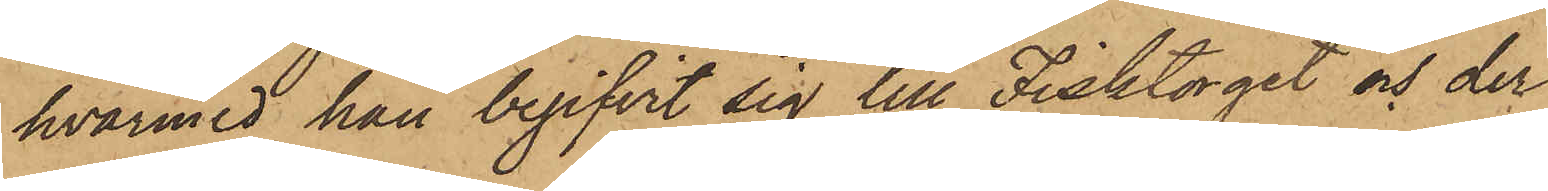hvarmed han begifvit sig till Fisktorget och der
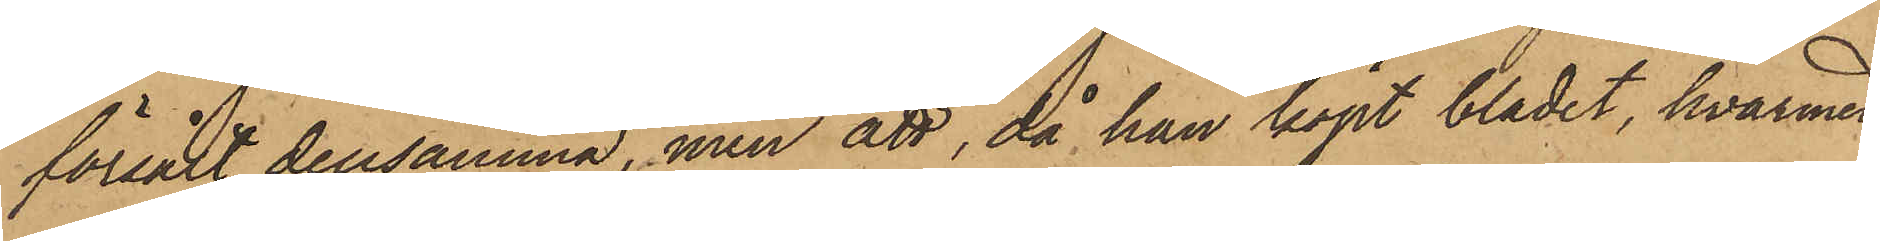försålt densamma, men att, då han köpt bladet, hvarmed
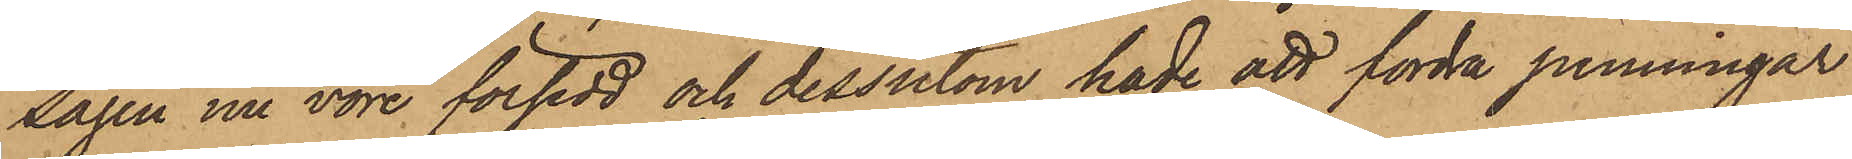sågen nu vore försedd och dessutom hade att fordra penningar
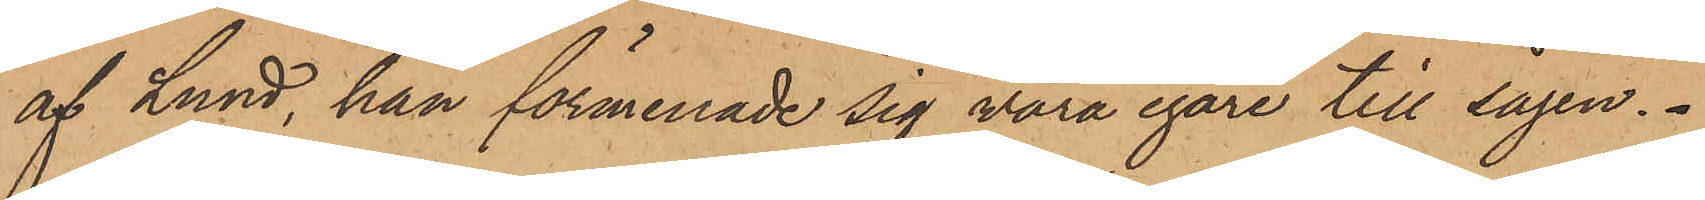af Lund, han förmenade sig vara egare till sågen.
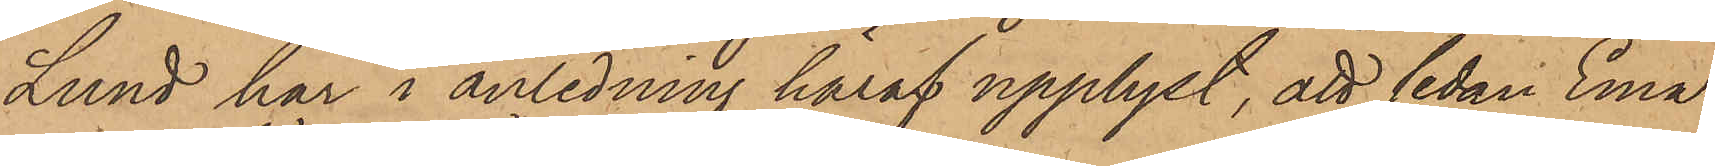Lund har i anledning häraf upplyst, att sedan Ema¬
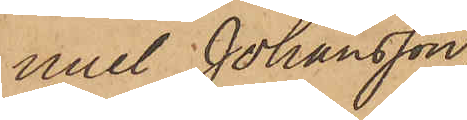nuel Johansson
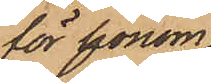för för honom
